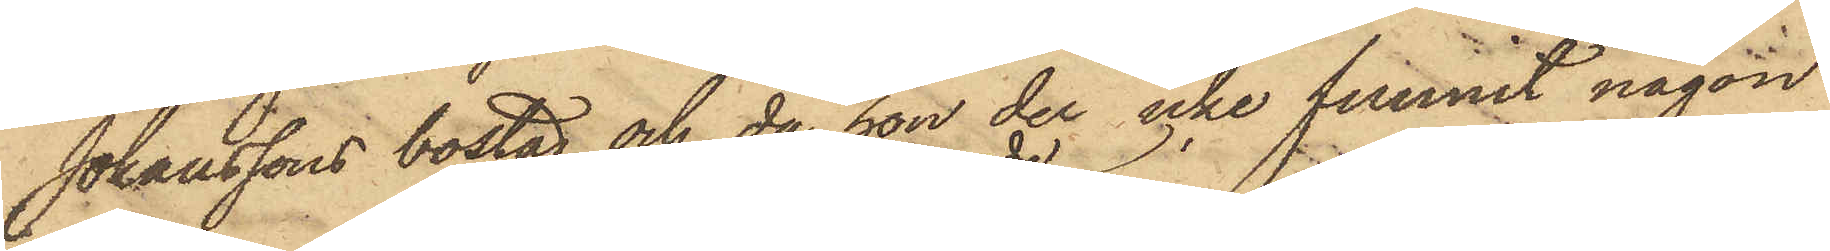Johanssons bostad och, då hon der icke funnit någon
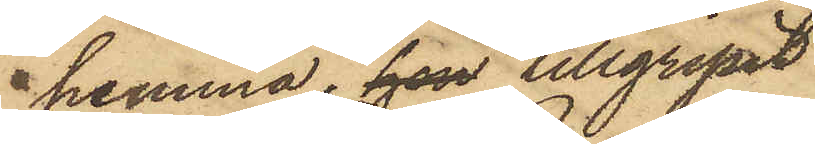hemma, hon tillgripit
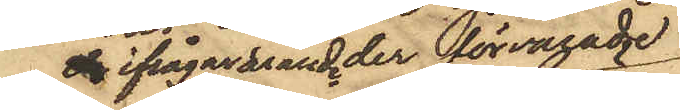ifrågavarande förvarade
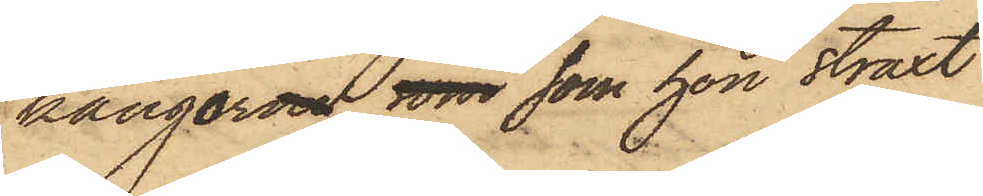kängorna, som som hon straxt
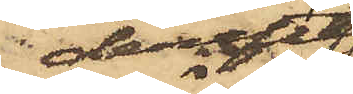derefter
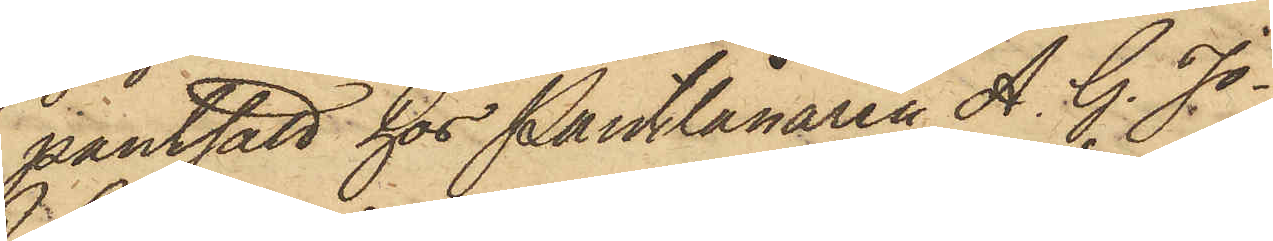pantsatt hos Pantlånaren A. G. Jo¬
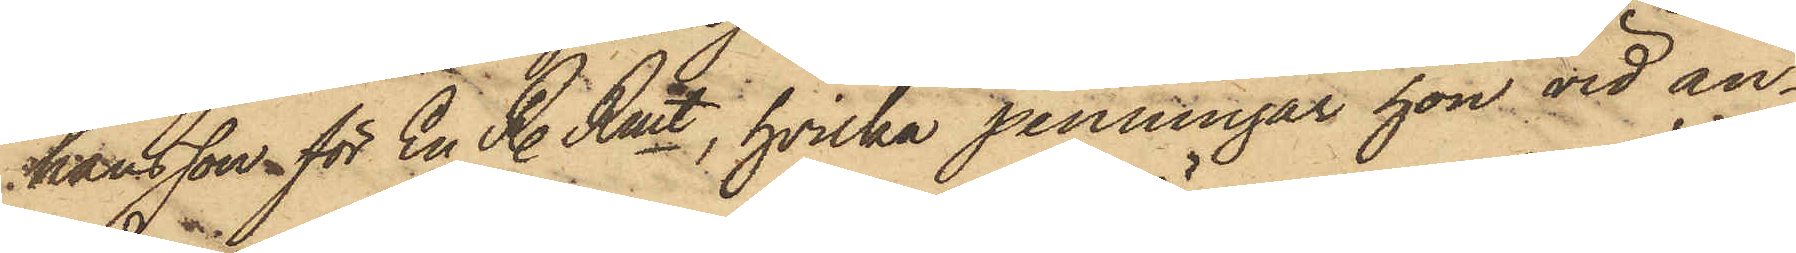hansson för En R. Rmt, hvilka penningar hon vid an¬
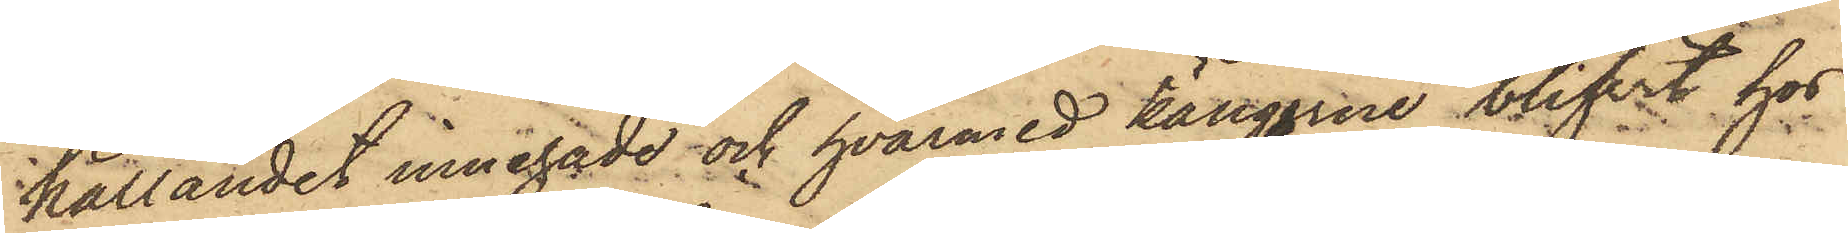hållandet innehade och hvarmed kängorne blifvit hos
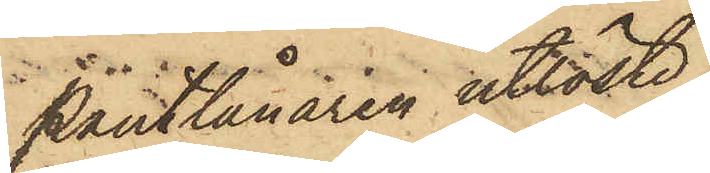Pantlånaren utlöste.
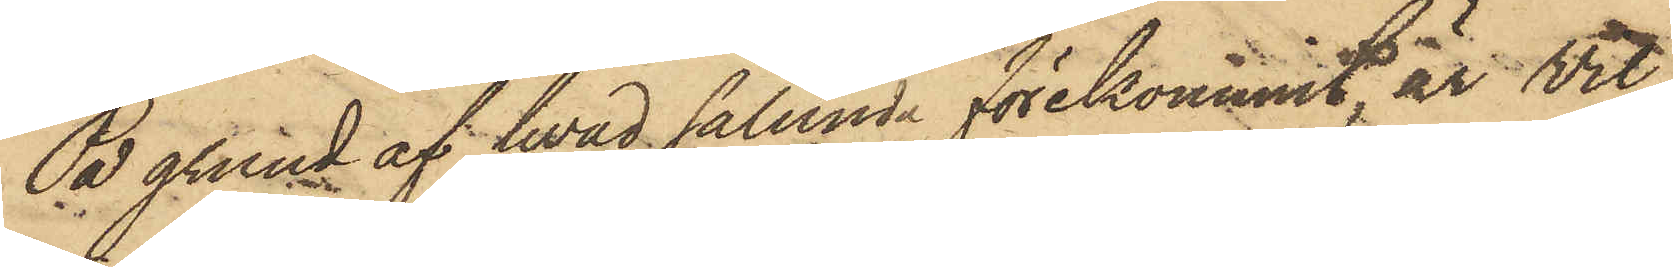På grund af hvad sålunda förekommit, är Vil¬
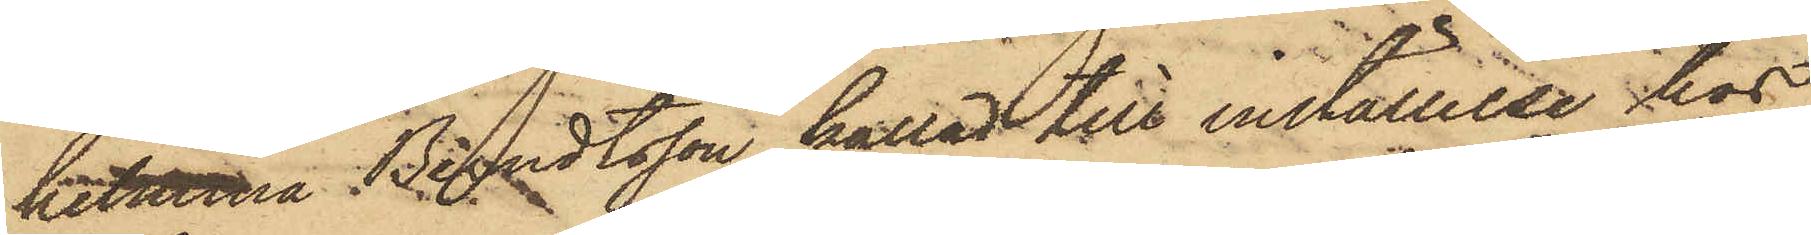helmina Bendtsson kallad till inställelse hos
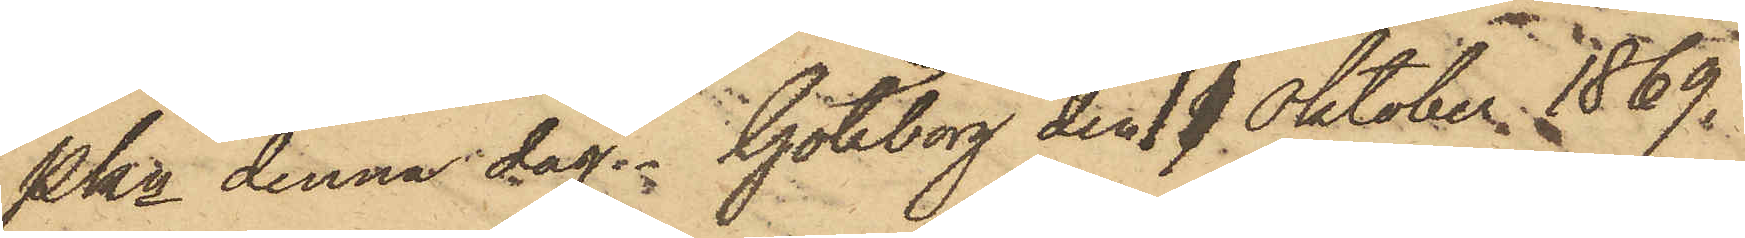Pkn denna dag. Göteborg den 11 Oktober 1869.
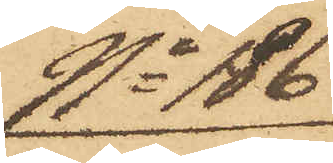No 186
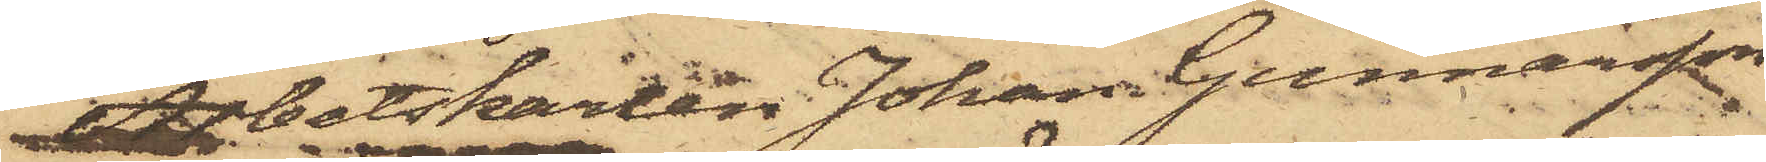Arbetskarlen Johan Gunnarson
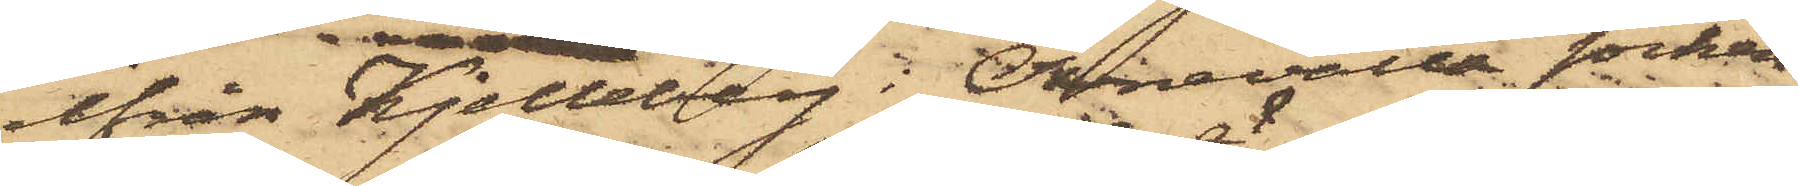ifrån Kjelleberg i Ölmevalla socken
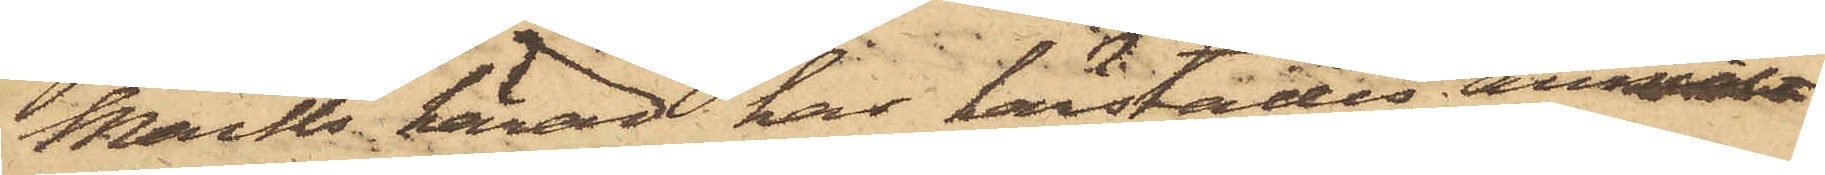Marks härad har härstädes anmält,
